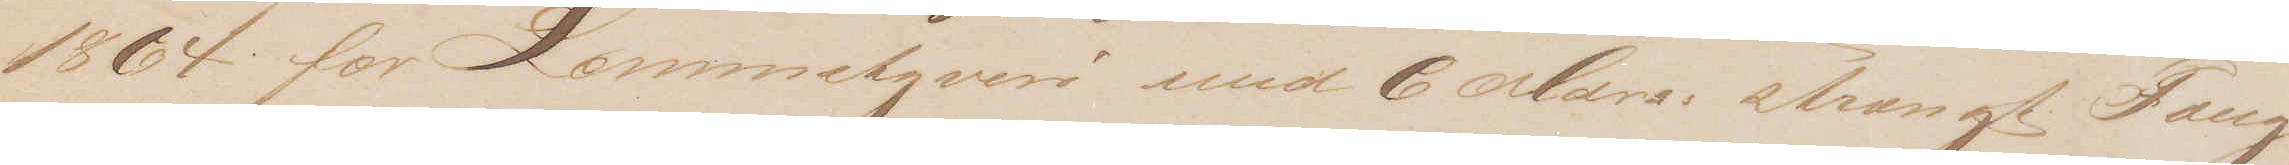1864 for Lommetyveri med 6 Mdrs: strængt Fæng¬
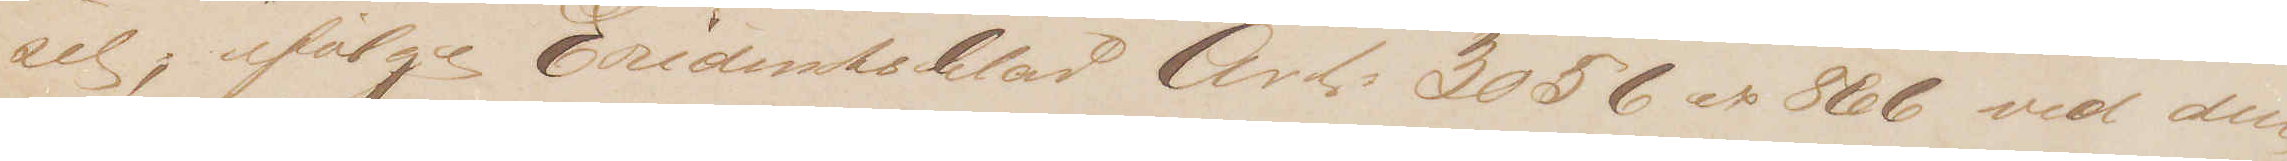sel; ifølge Evidentsblad Art. 3056 ex 866 ved den
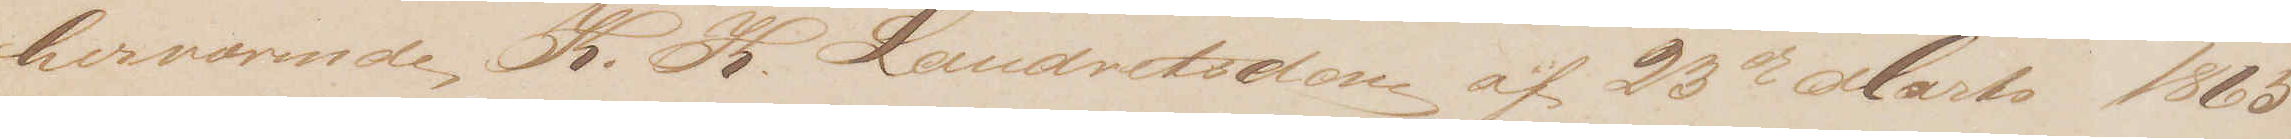herværende K. K. Landretsdom af 23de Marts 1865
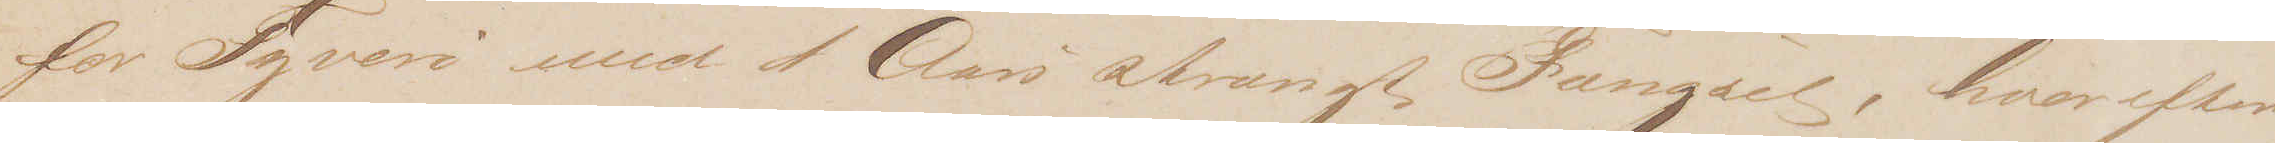for Tyveri med 1 Aars strængt Fængsel, hvorefter 
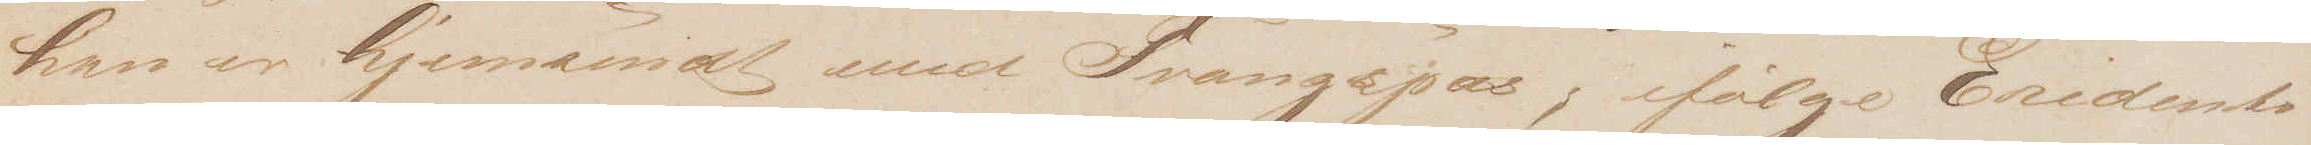han er hjemsendt med Tvangspas, ifølge Evidents¬
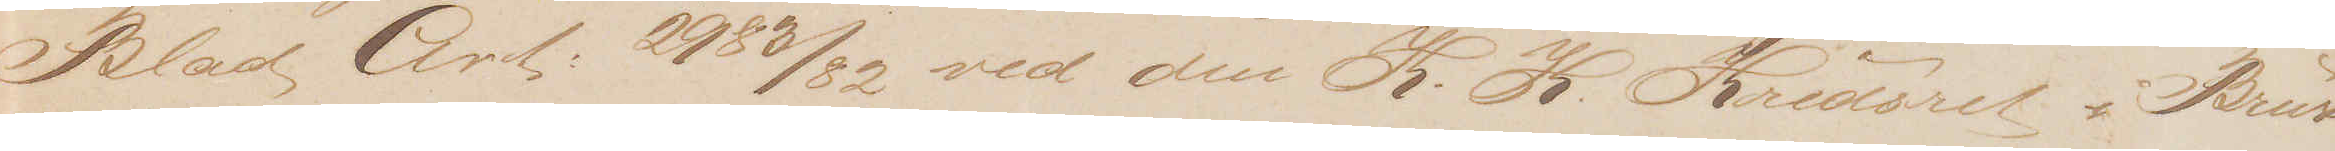Blad Art: 2983/82 ved den K.K. Kredsret i Brus
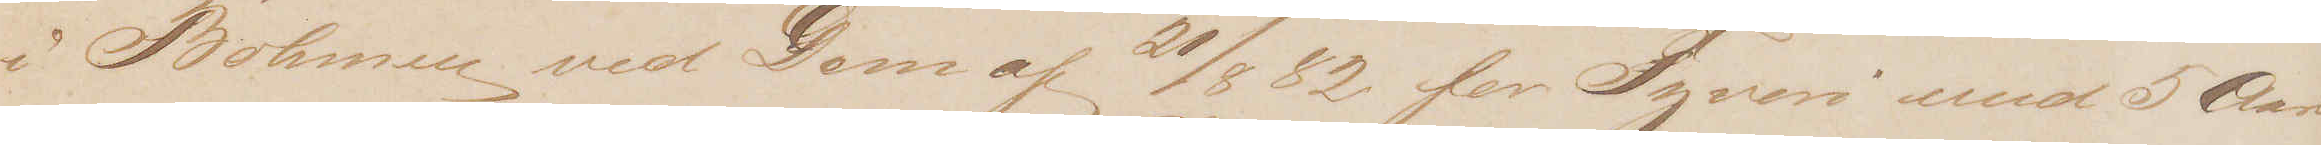i Böhmen ved Dom af 21/8 82 for Tyveri med 5 Aars
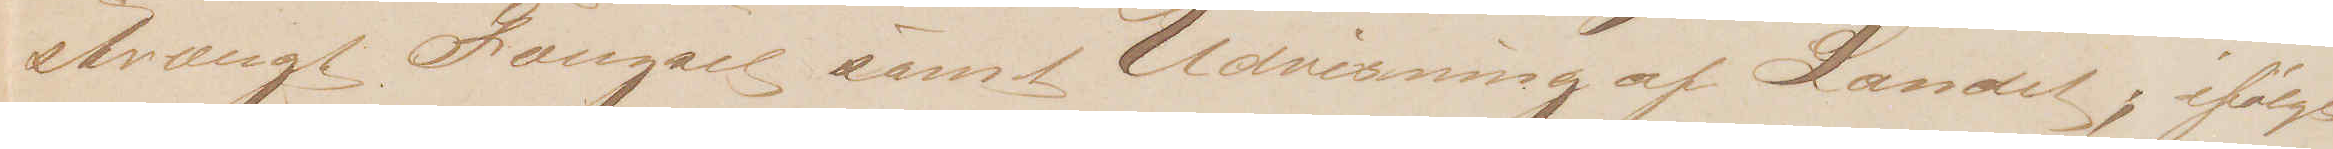strængt Fængsel samt Udvisning af Landet; ifølge 
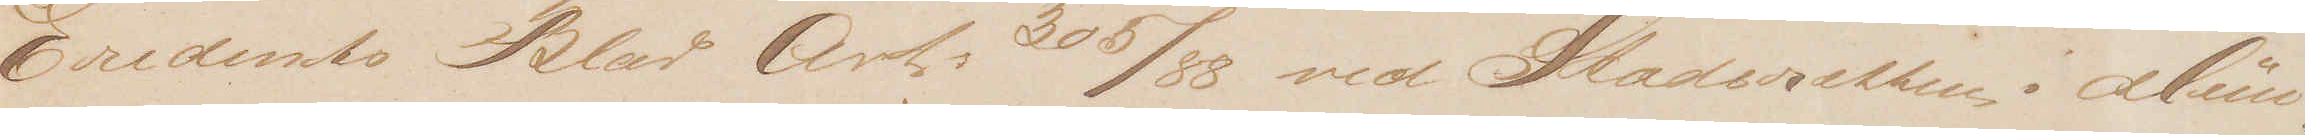Evidents Blad Art. 305/88 ved Stadsretten i Mün¬
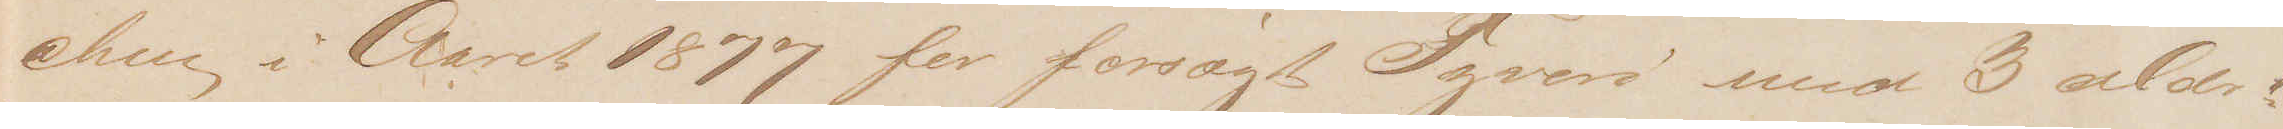chen i Aaret 1877 for forsøgt Tyveri med 3 Mdr:
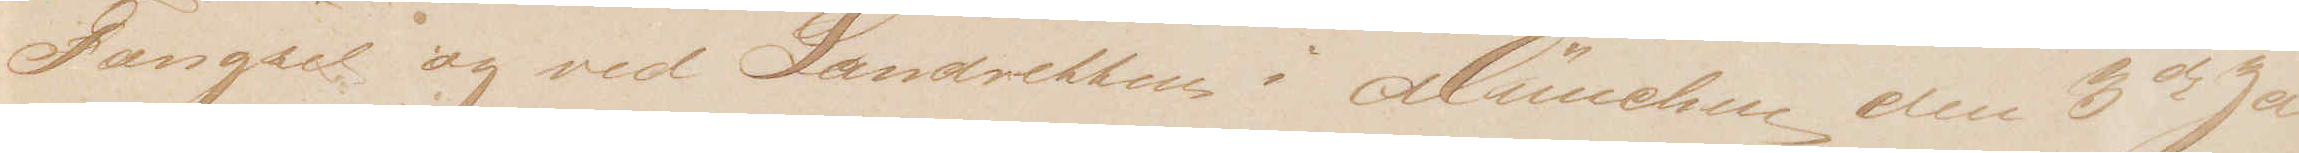Fængsel og ved Landretten i München den 3die Ja¬
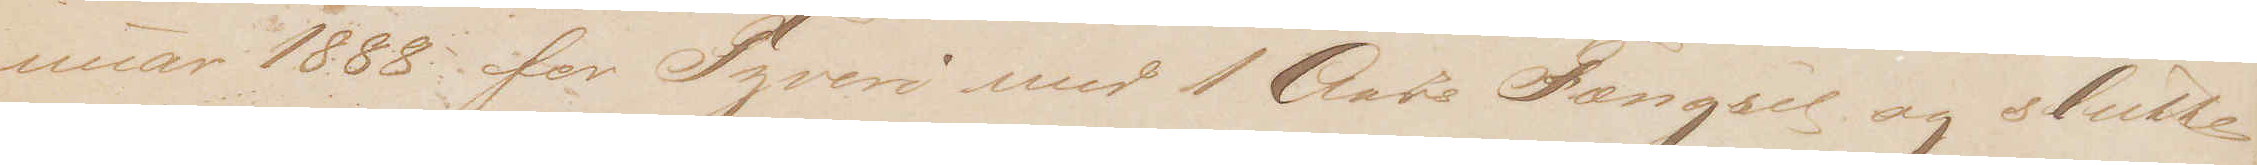nuar 1888 for Tyveri med 1 Aars Fængsel og slutte¬
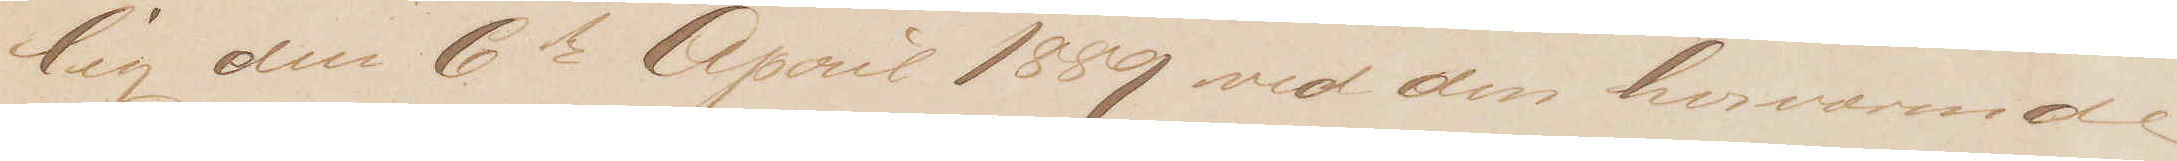lig den 6te April 1889 ved den herværende
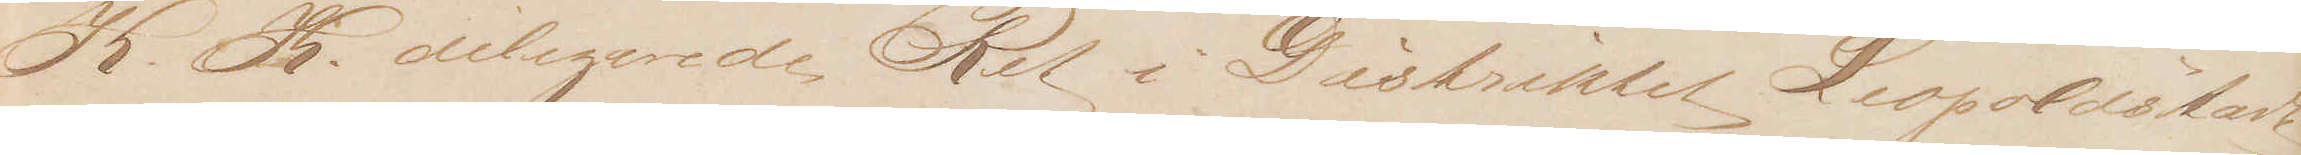K.K. delegerede Ret i Distriktet Leopoldstadt
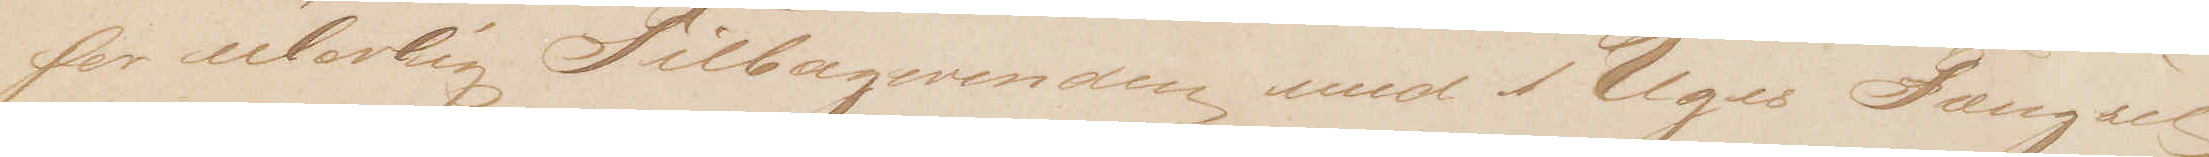for ulovlig Tilbagevenden med 1 Uges Fængsel,
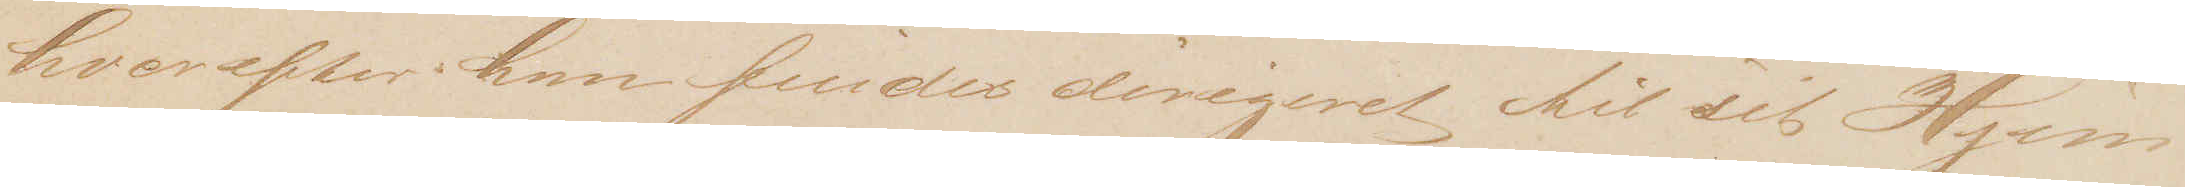hvorefter han findes dirigeret til sig Hjem¬
